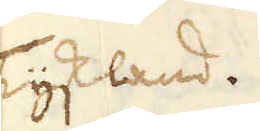i Tyskland.
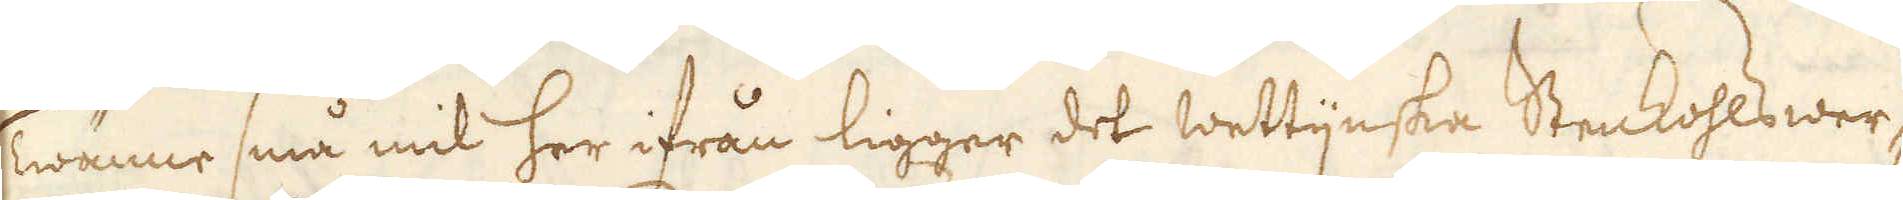Twänne små mil her ifrån ligger det Wettijnska Stenkohlswer-
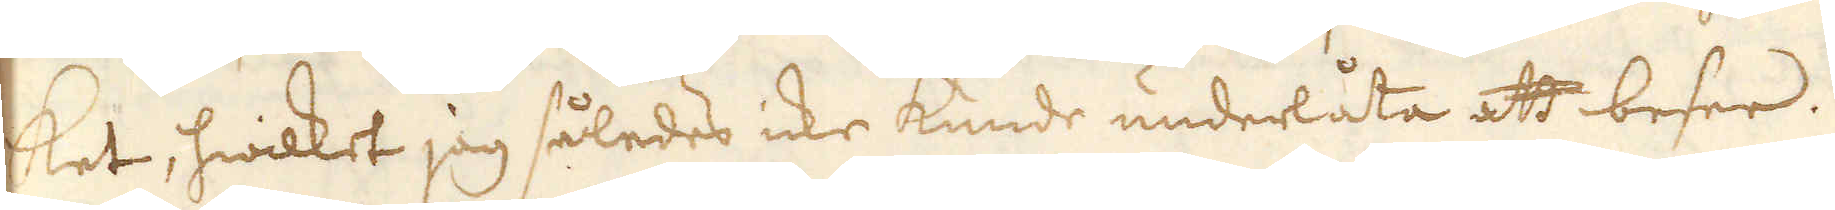ket, hwilket jag således icke kunde underlåta att besee.
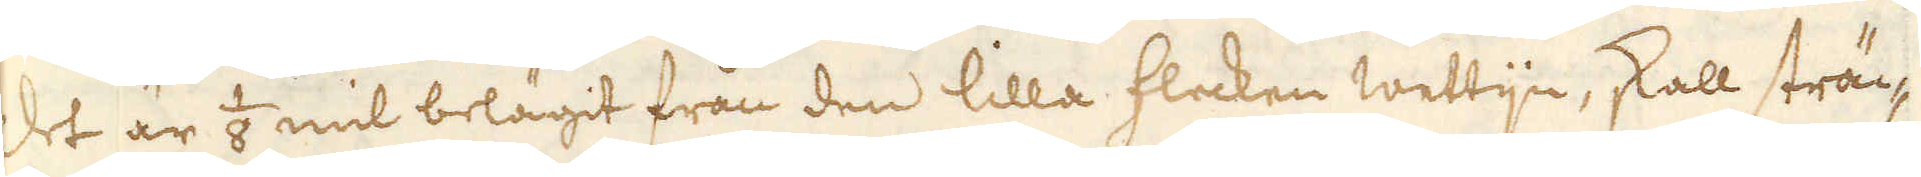Det är 1/8 mil belägit från den lilla flecken Wettijn, skall sträc-
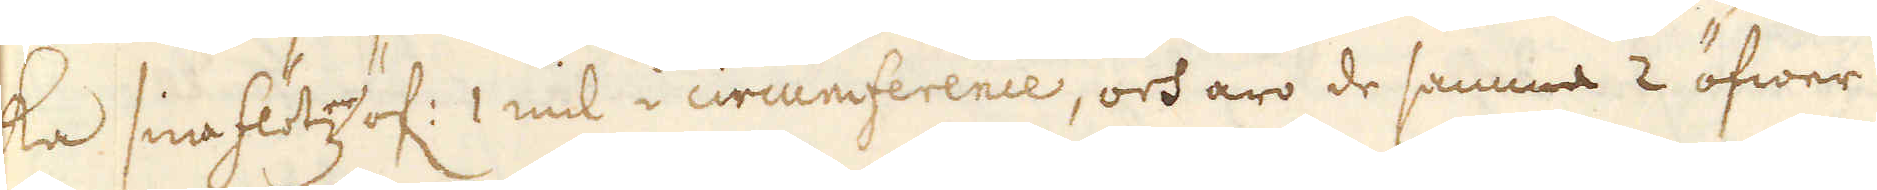ka sina flötzar öf: 1 mil i circumference, och äro de samma 2 öfwer
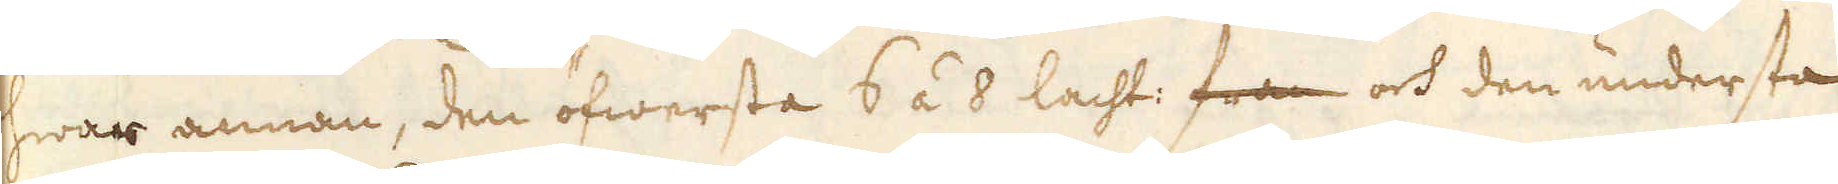hwar annan, den öfwersta 6 á 8 lacht: fran och den understa
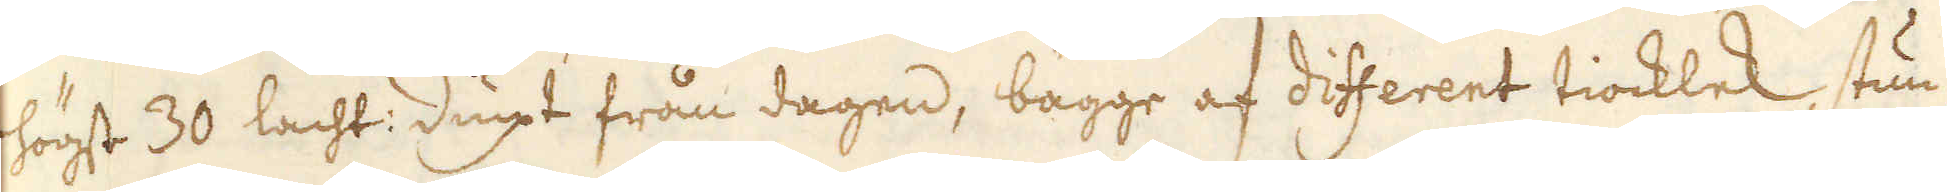högst 30 lacht: diupt från dagen, bägge af different tiocklek, stun-
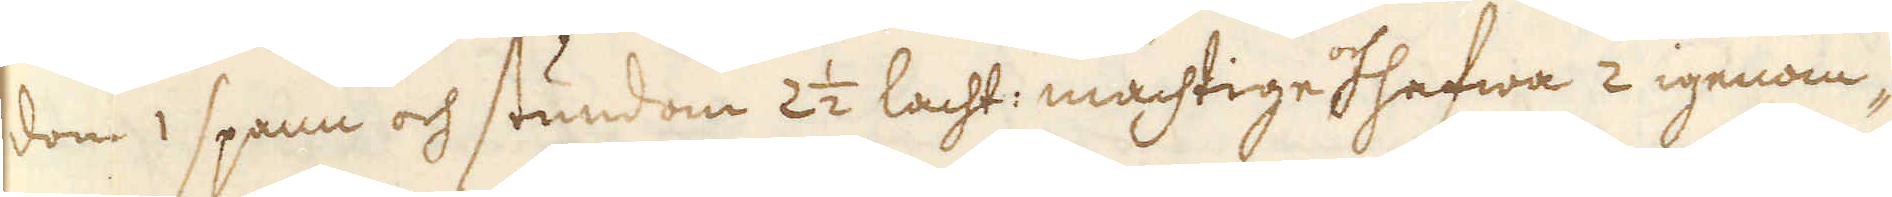dom 1 spann och stundom 2 1/2 lacht: mächtige och hafwa 2 igenom-
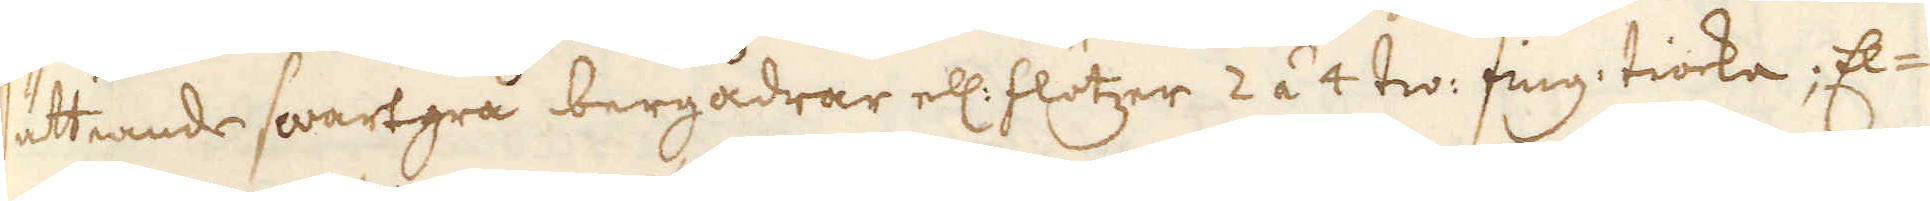sättiande swartgrå bergådrar ell: flötzer 2 á 4 tw: fing: tiocka; El-
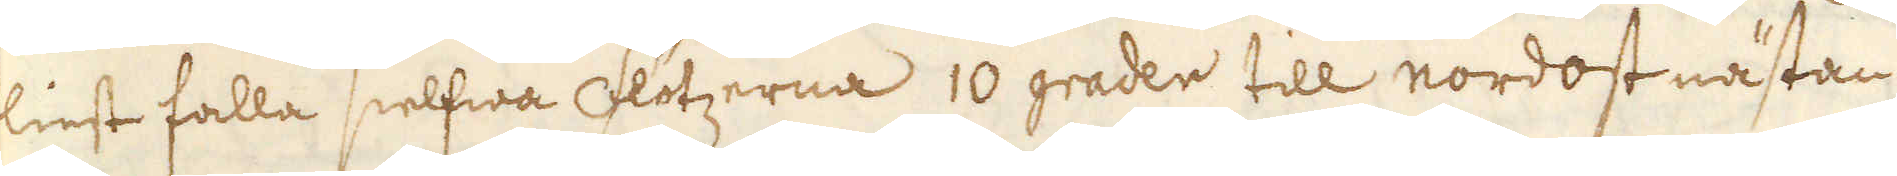liest falla sielfwa Flötzerna 10 grader till nordost nästan
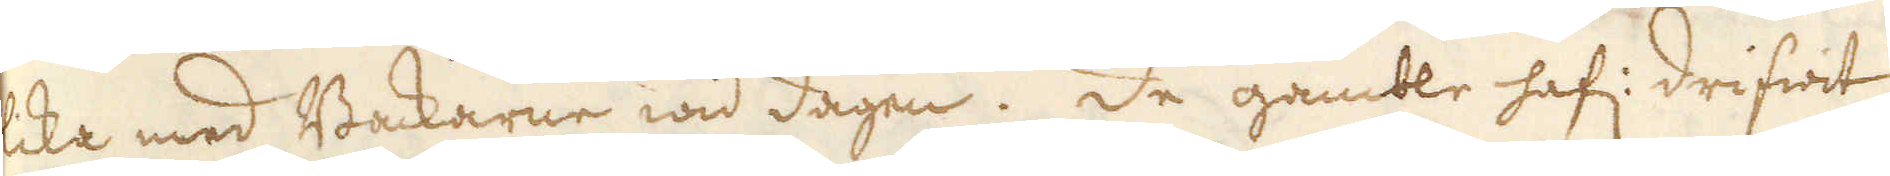lika med Backarne wid dagen. De gamble haf: drifwit
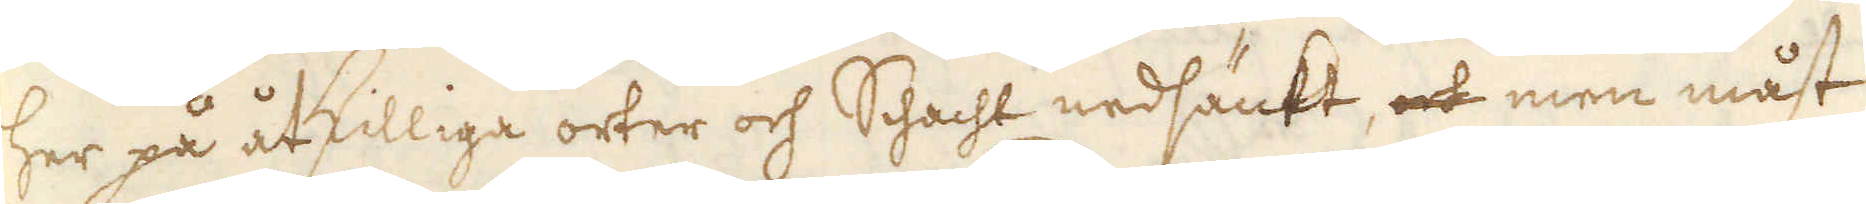her på åtskilliga orter och Schacht nedsänkt, och men måst
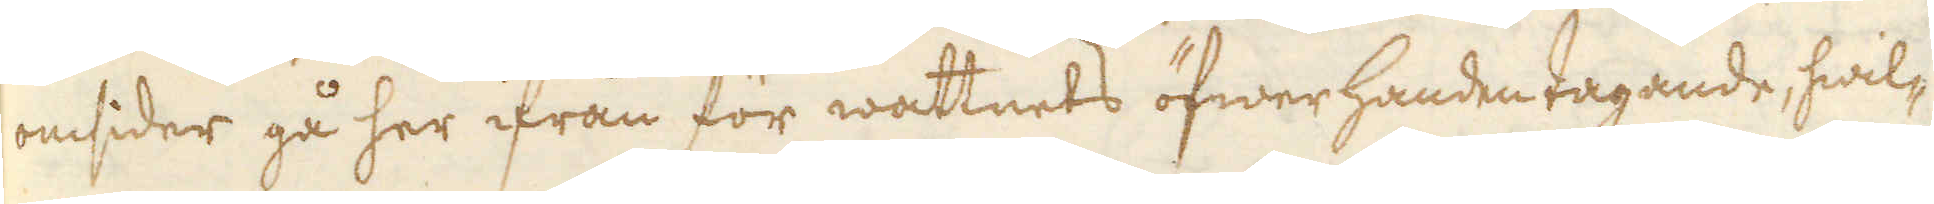omsider gå her ifrån för wattnets öfwer handen tagande, hwil-
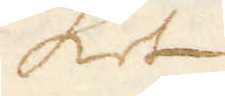ket
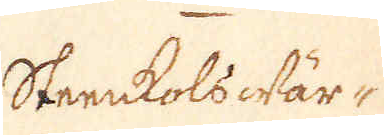Steenkols Wär-
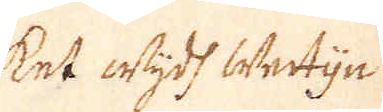ket wijdt Wetijn
